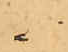i
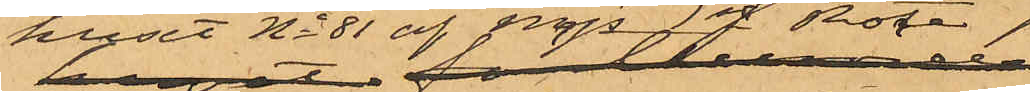huset af Mjs 1sta Rote,
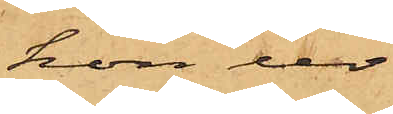hon ur
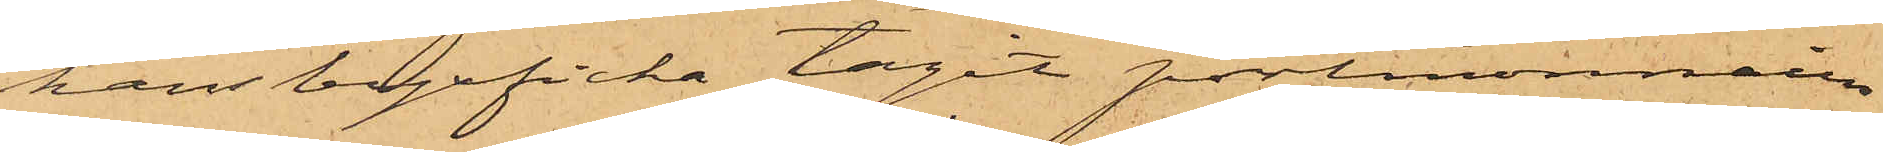hans byxficka tagit portmonnaien
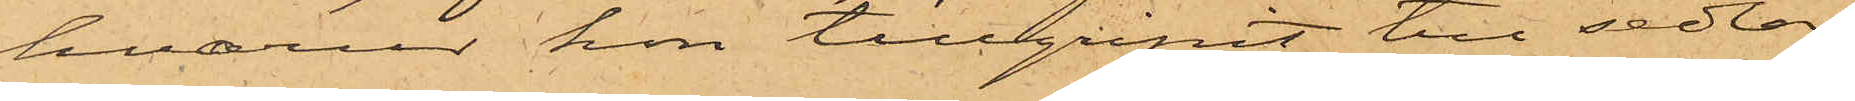hvarur hon tillgripit tre sedlar
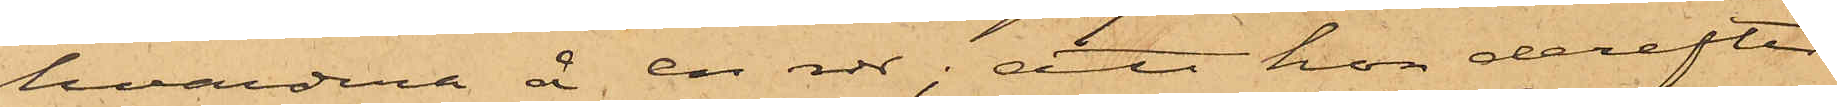hvardera å en rdr; att hon derefter
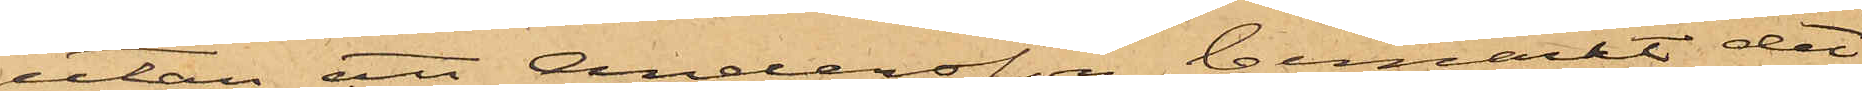utan att Andersson bemärkt det,
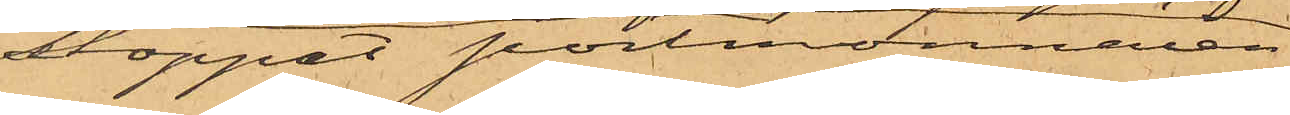stoppat portmonnaien
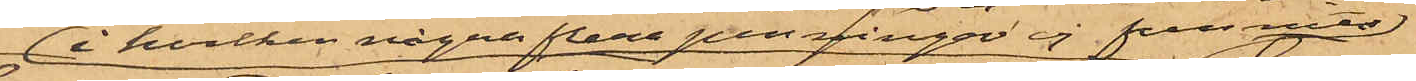i hvilken någon flera penningar ej funnits
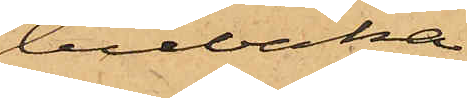tillbaka
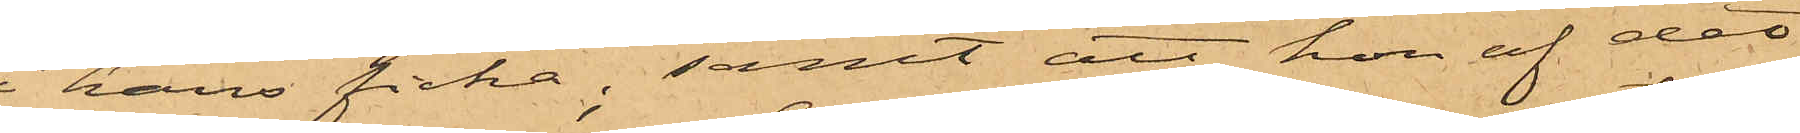i hans ficka; samt att hon af det
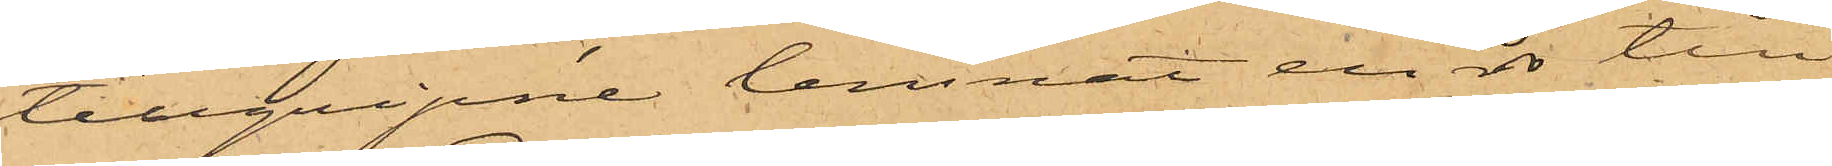tillgripne lemnat en rdr till
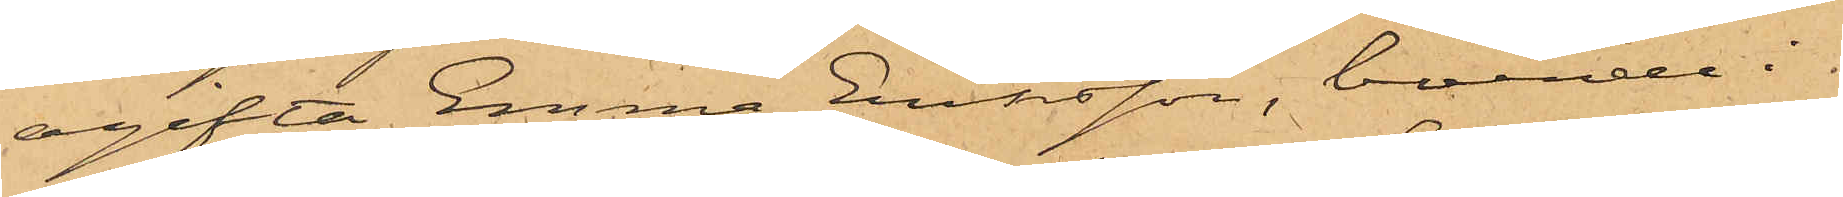ogifta Emma Eriksson, boende i
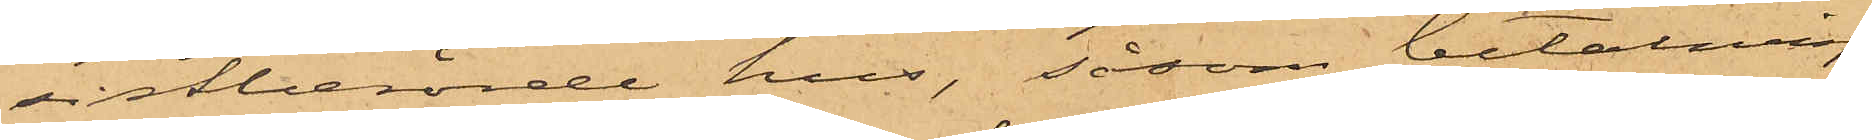sistberörde hus, såsom betalning
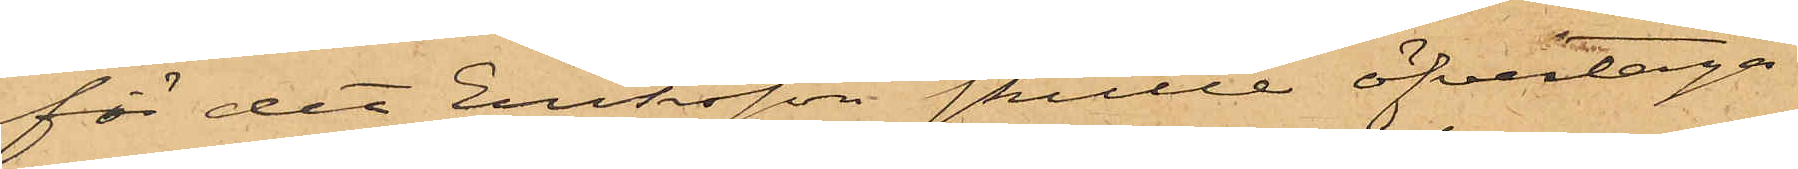för det Eriksson skulle öfvertaga
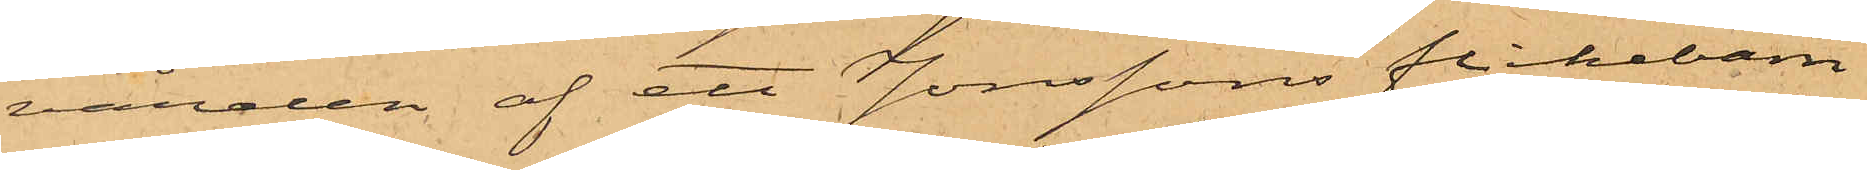vården af ett Jonssons flickebarn
